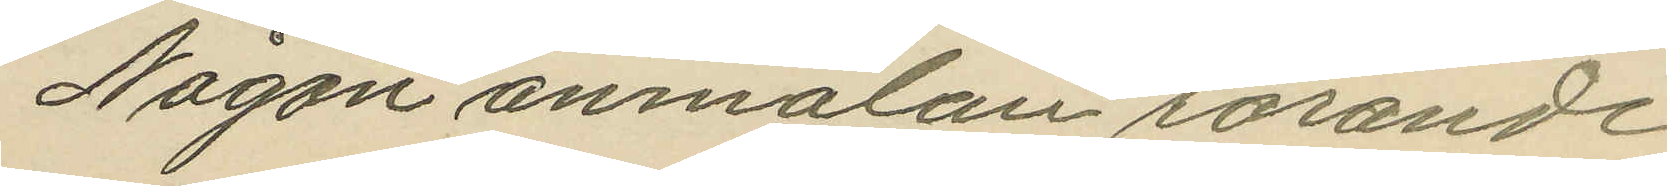Någon anmälan rörande
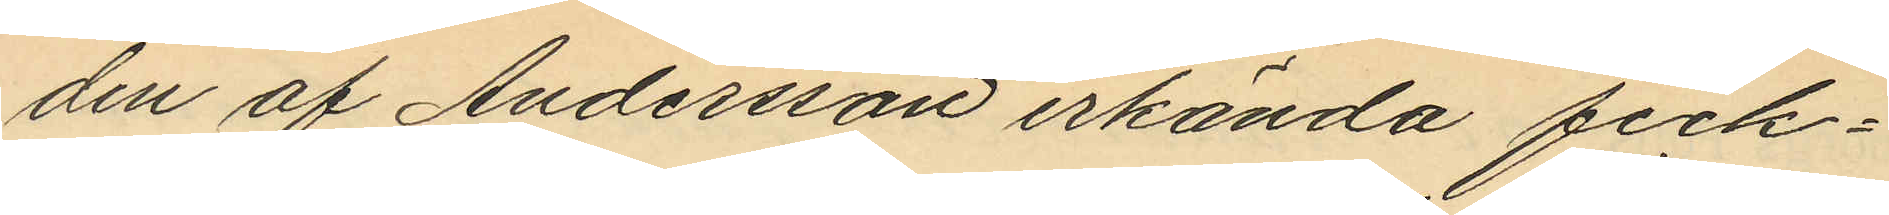den af Andersson erkända fick¬
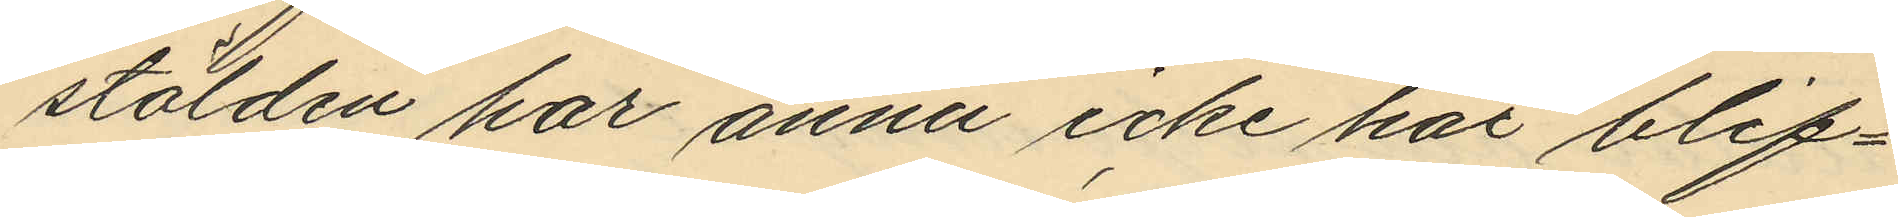stölden har ännu icke här blif¬
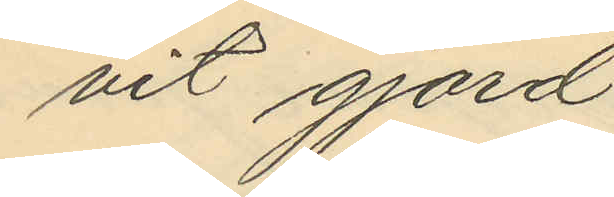vit gjord.
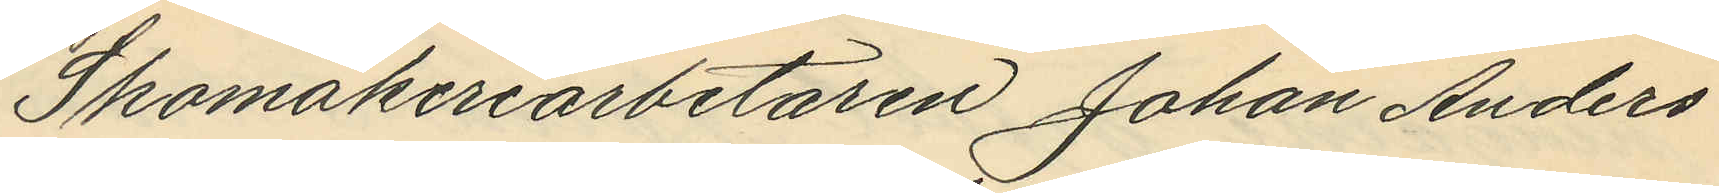Skomakeriarbetaren Johan Anders
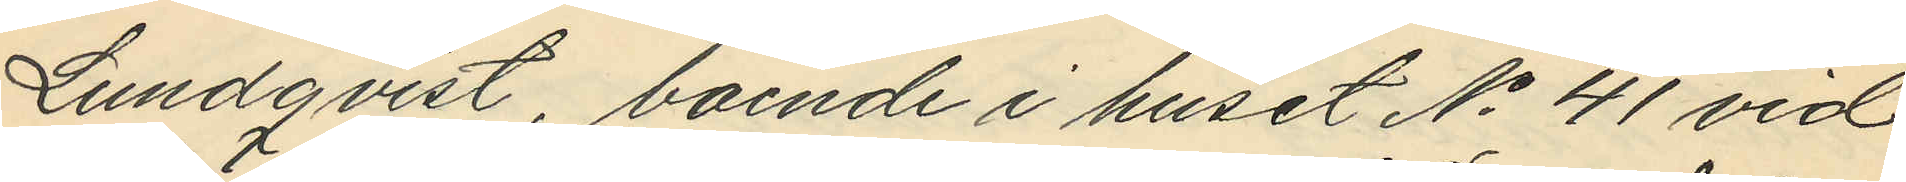Lundqvist, boende i huset No 41 vid
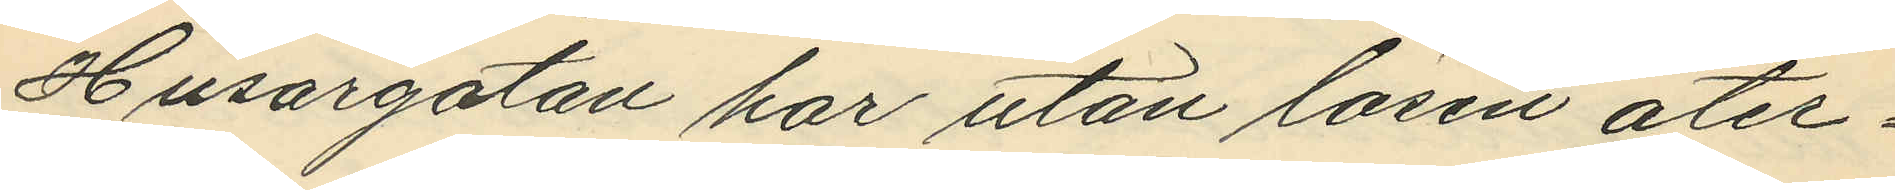Husargatan har utan lösen åter¬
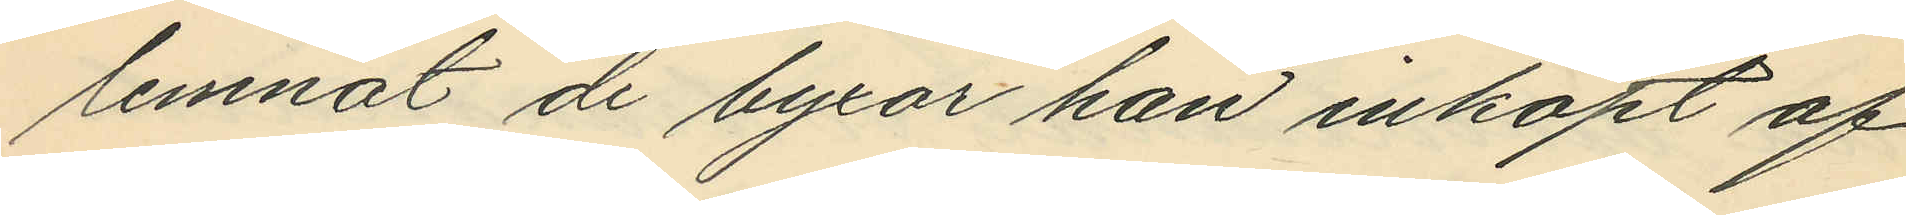lemnat de byxor han inköpt af
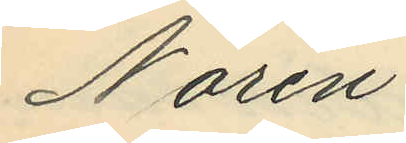Norén.
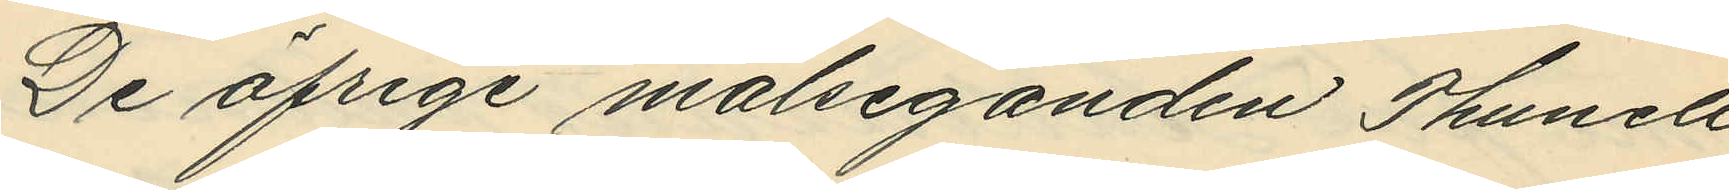De öfrige målseganden Thunell
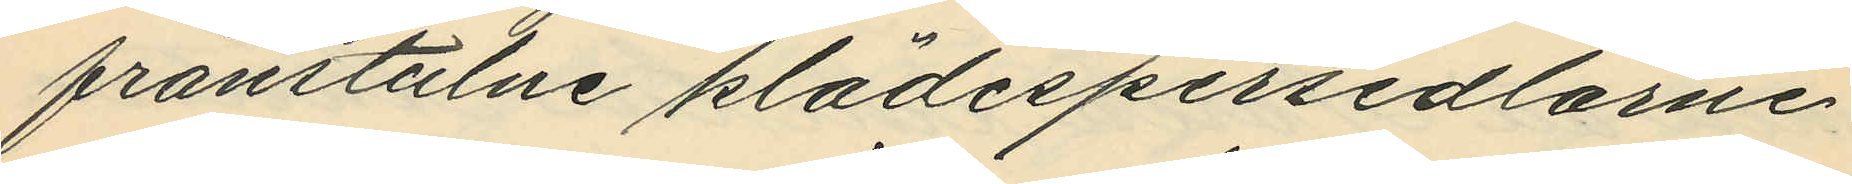frånstulne klädespersedlarne
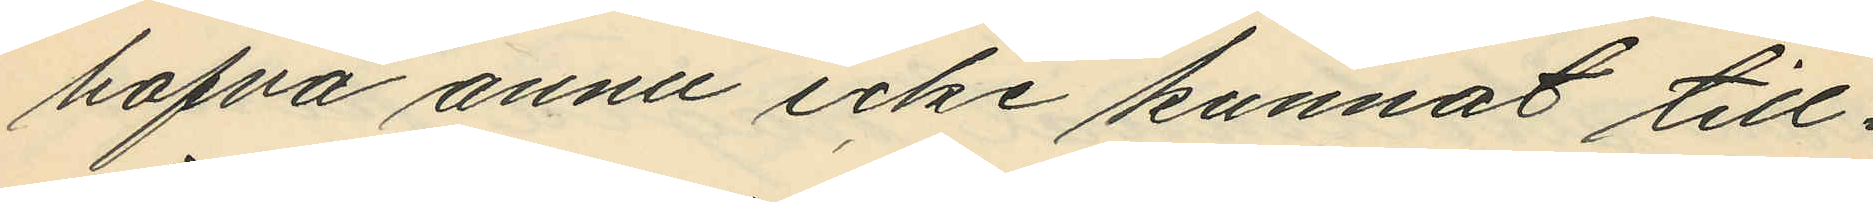hafva annu icke kunnat till¬
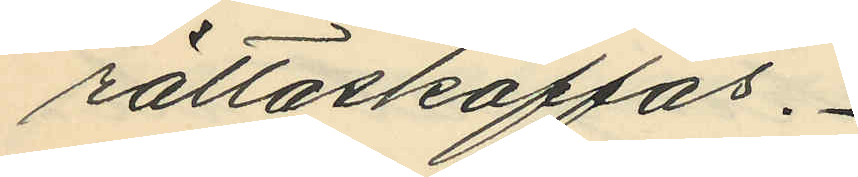rättaskaffas.
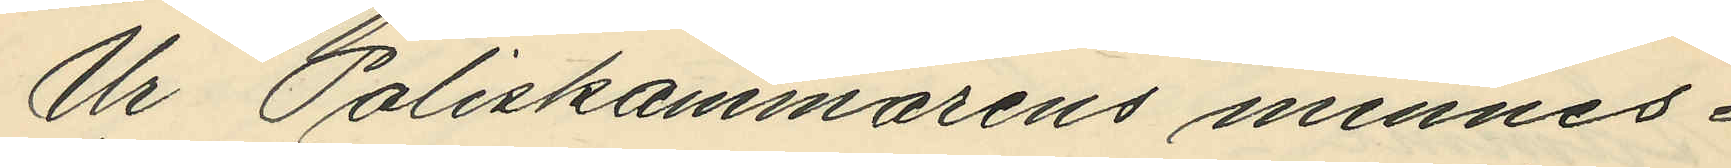Ur Poliskammarens minnes¬
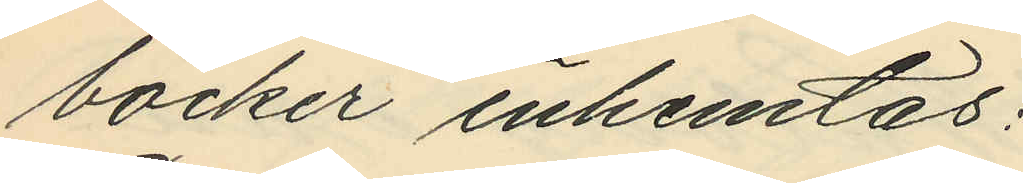böcker inhemtas:
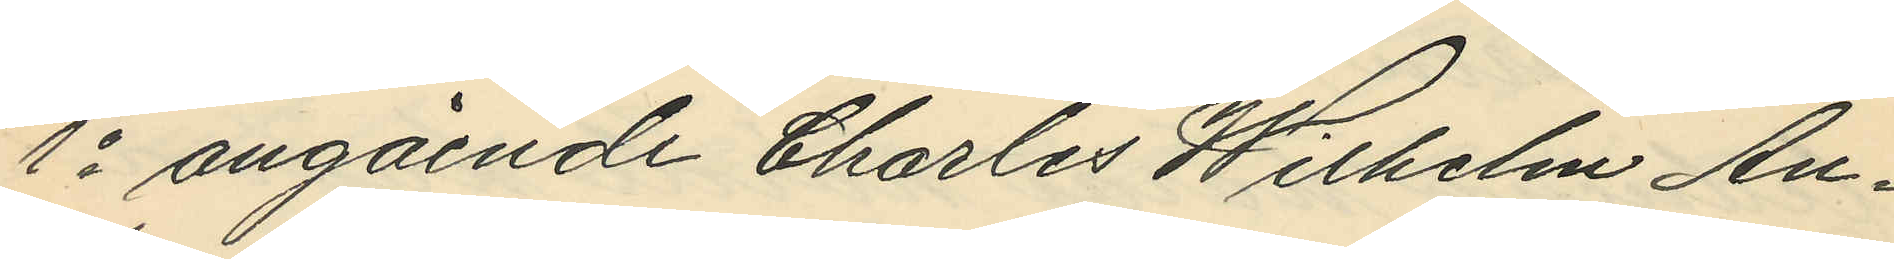1o angående Charles Wilhelm An¬
